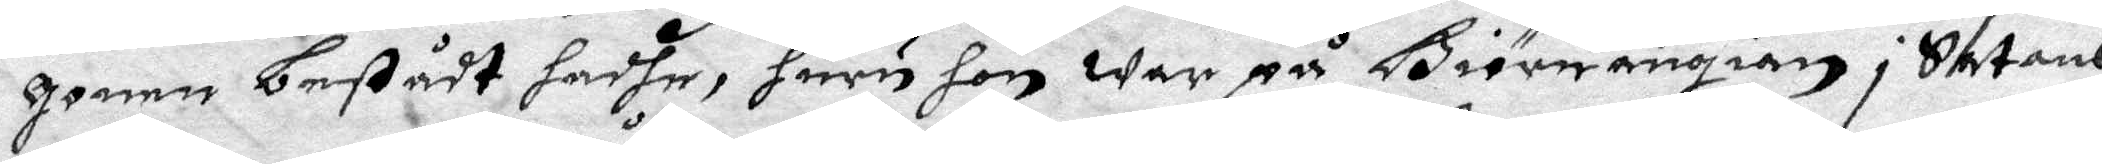gonen bestådt hadhe, huru hon war på Biörnängien i Satans
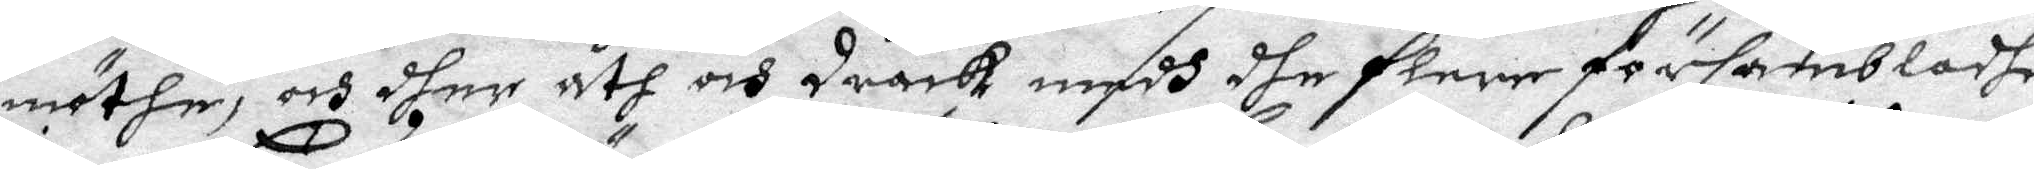möthe, och dher åth och drack medh dhe flere försambladhe
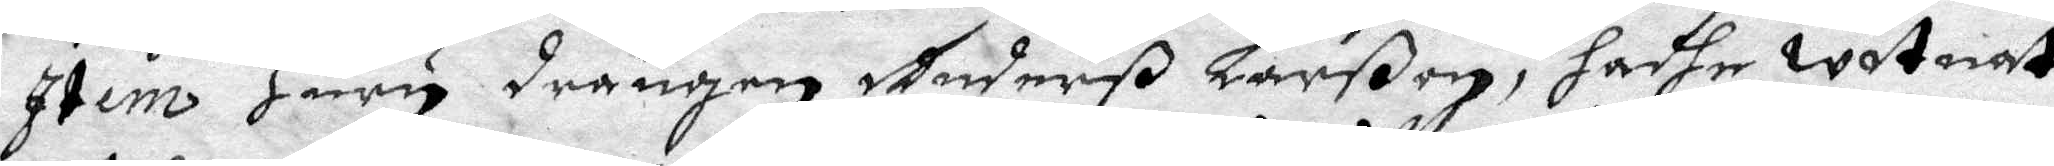Item Huru drängen Anderß Larßon, hadhe witnat
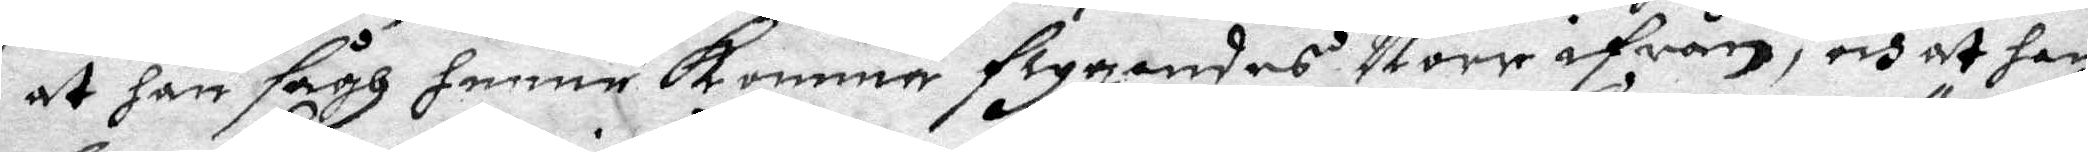at han sågh henne komma flygandes Norr ifrån, och at han
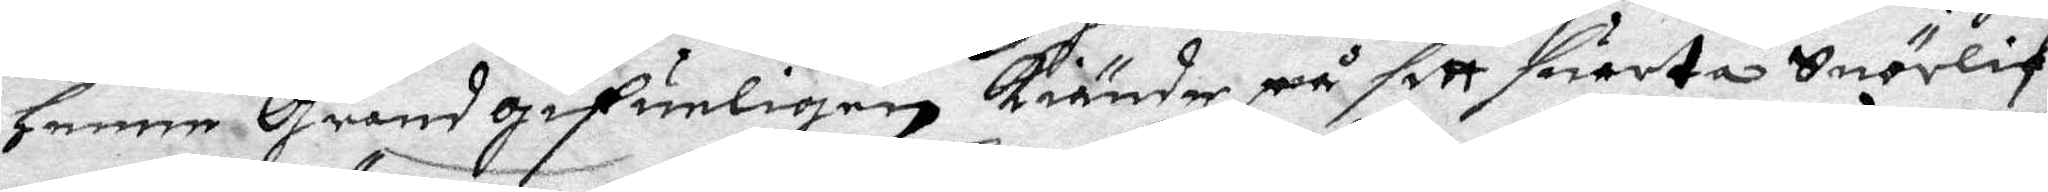henne Grandgifueligen kiände på sitt suarta snörlif
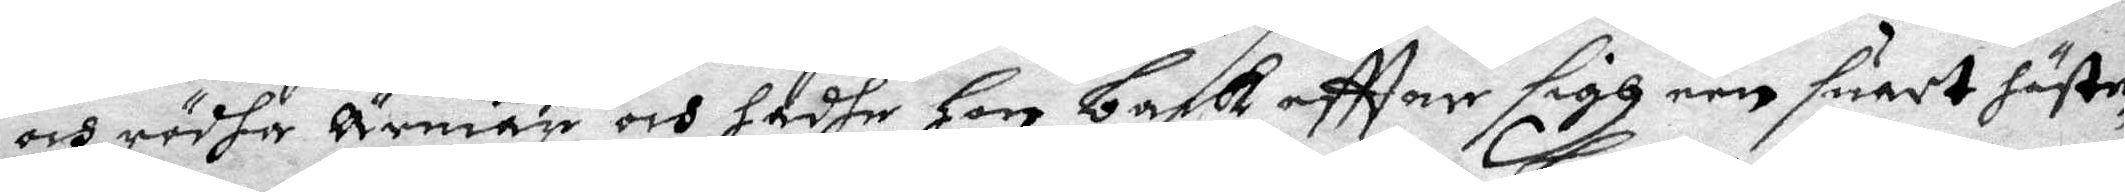och rödha Ärmar och hadhe hon back eftter sigh een suart häste¬
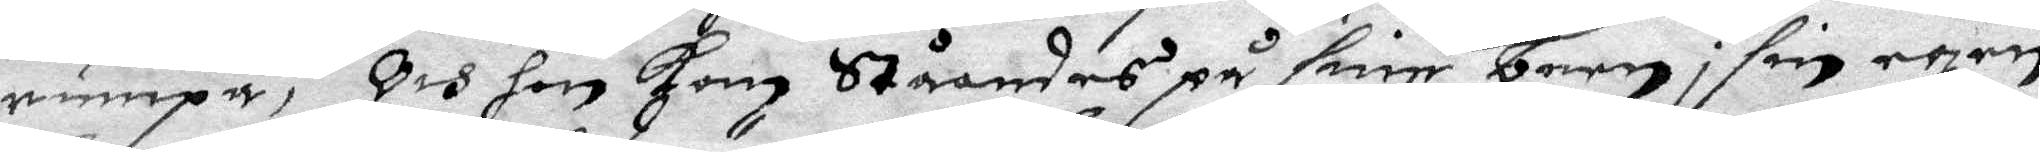rumpa, Och hon kom ståemdes på sine barn i sin egen
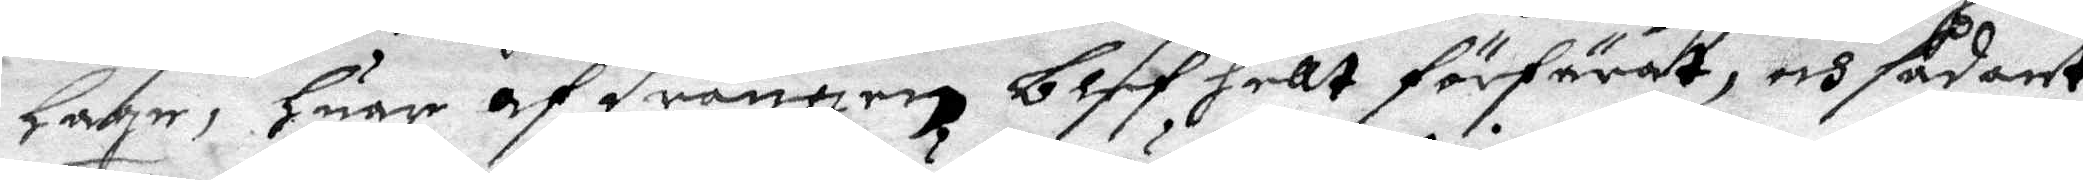hage, huar af drngen blef hellt förfärat, och sådant
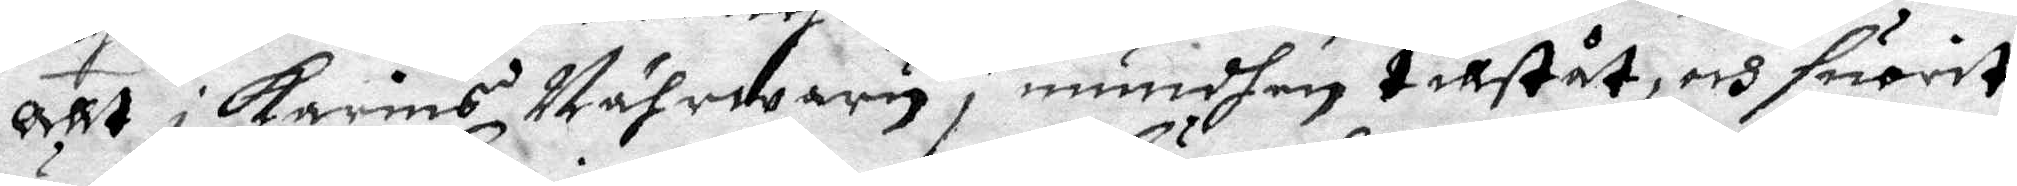Allt i Karins Nährwaru i mundhen tillståt, och suarot
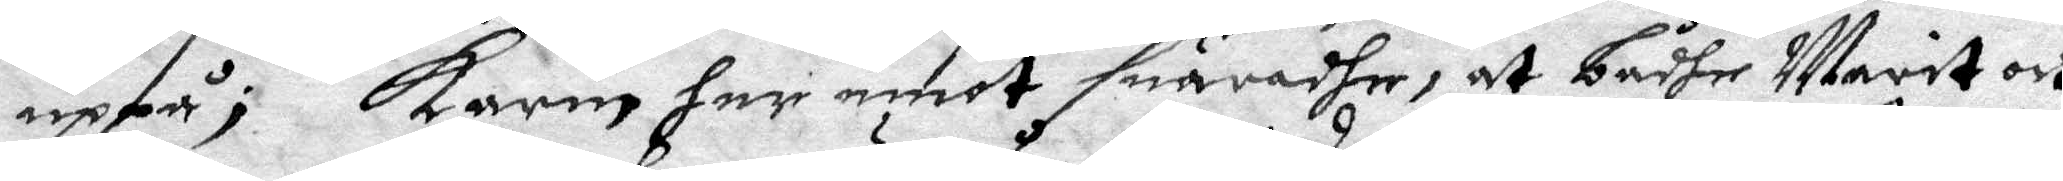uppå; Karin har emot suaradhe, at bådhe Marit och
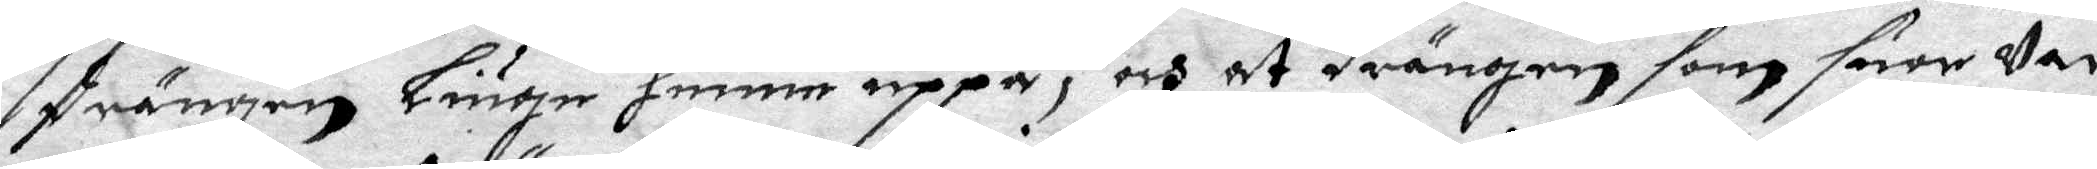drängen Liuger henne uppå, och at drängen som suar var
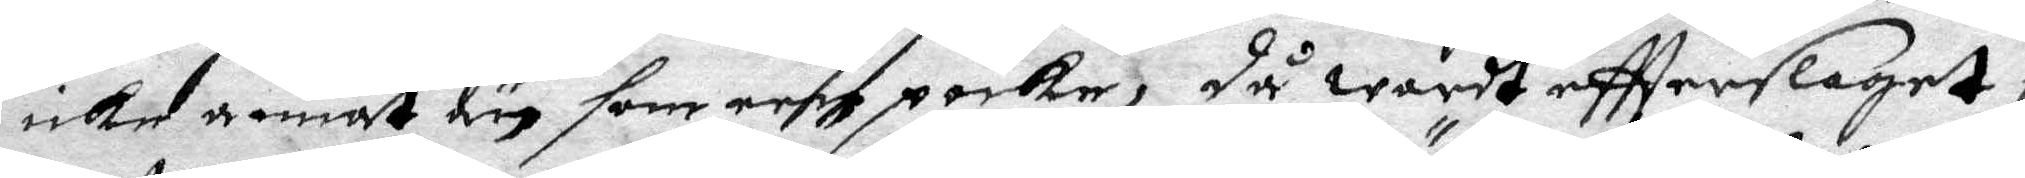icke annat än som een poike, Då wardt eftterslaget i
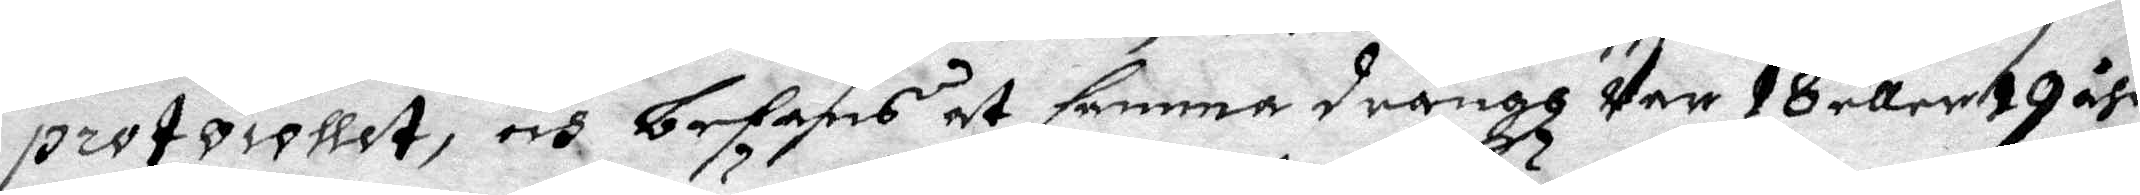protocollet, och befans at samma drängh var 18 eller19 åhr
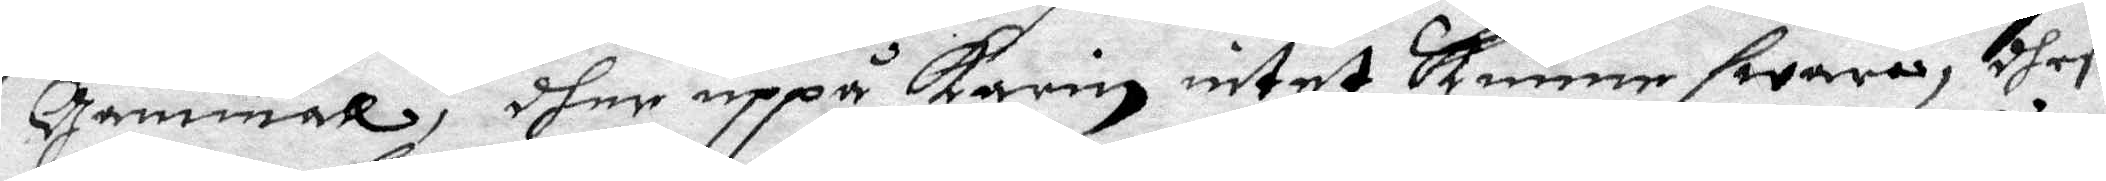Gammal, dher uppå Karin intet kunne swara, dheß¬
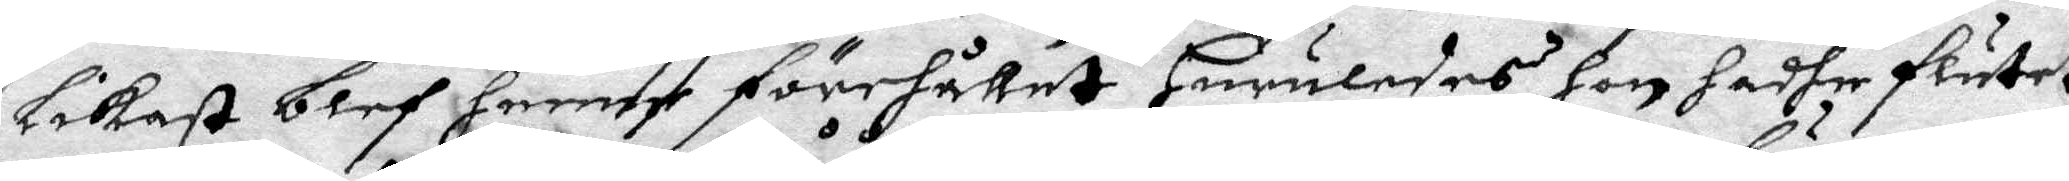likast blef henne förehållet Huruledes hon hadhe flutet
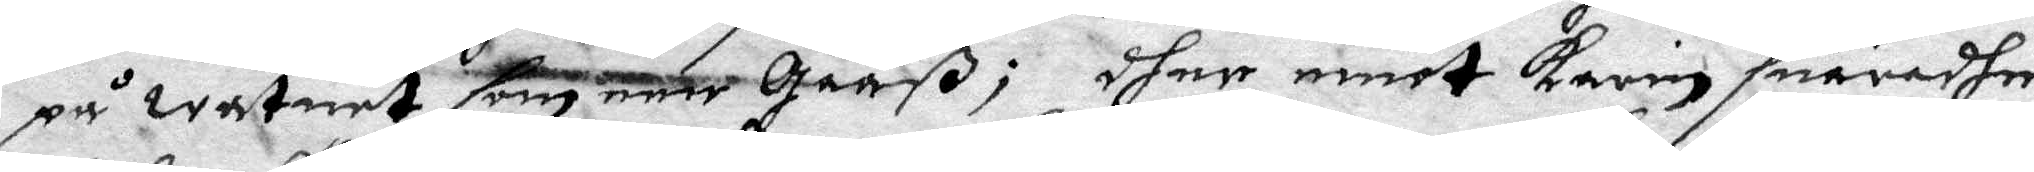på watnet som een Gååß; dher emot Karin suaradhe
